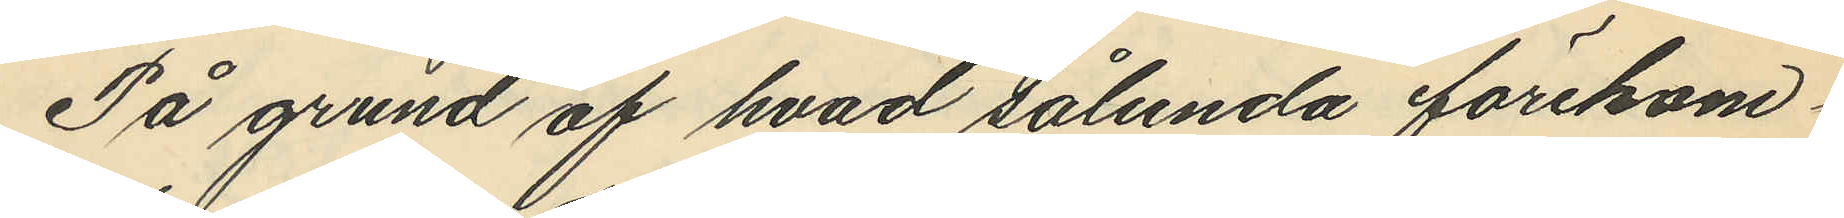På grund af hvad sålunda förekom¬
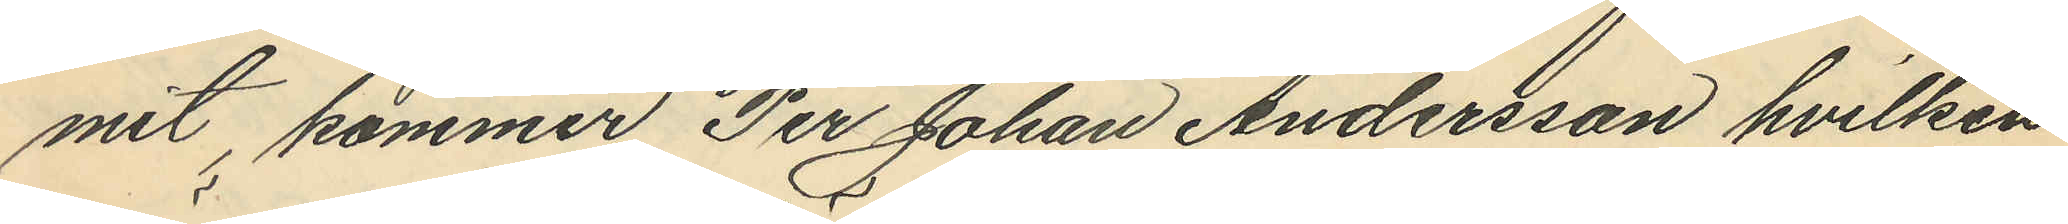mit, kommer Per Johan Andersson hvilken
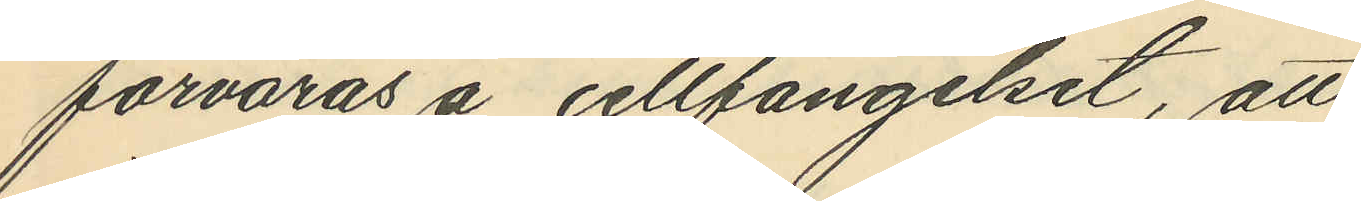förvaras å cellfängelset, att
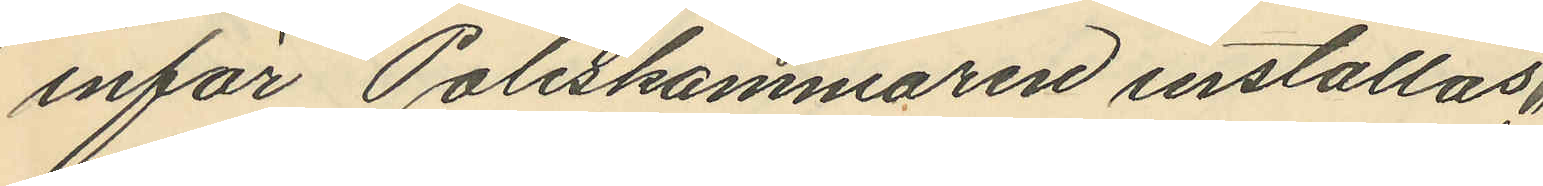inför Poliskammaren inställas.
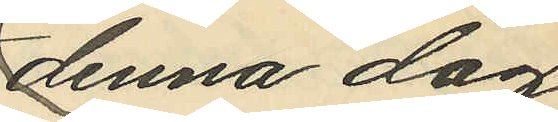denna dag,
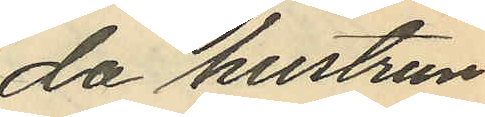då hustrun
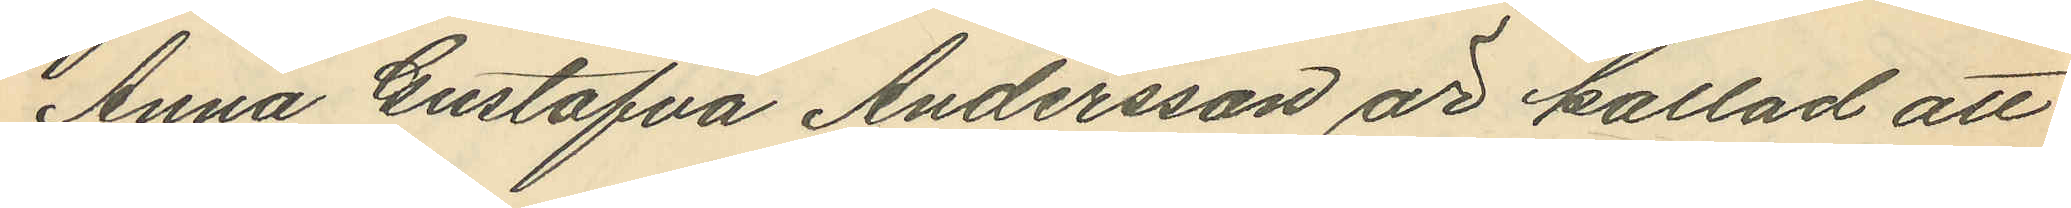Anna Gustafva Andersson är kallad att
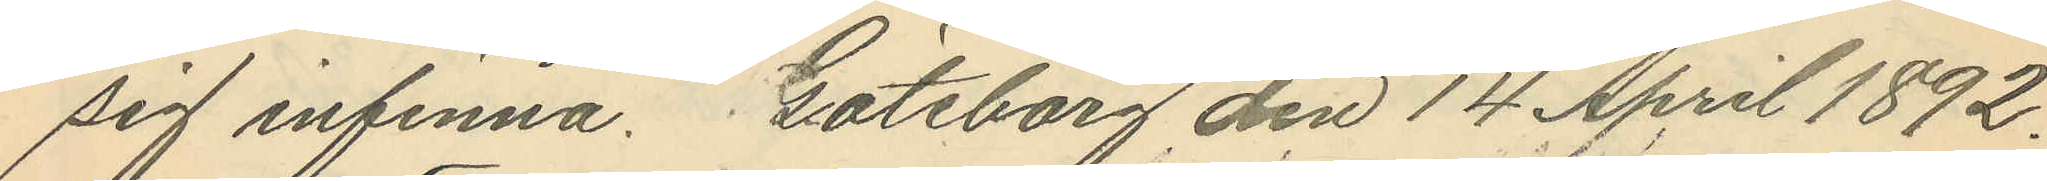sig infinna. Göteborg den 14 April 1892.
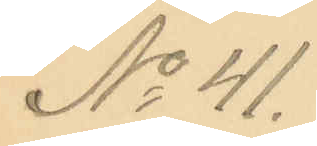No 41.
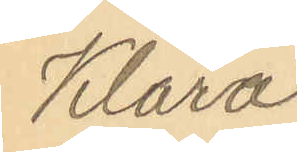Klara
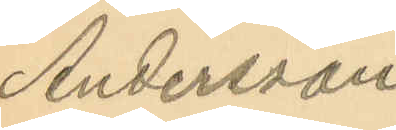Andersson.
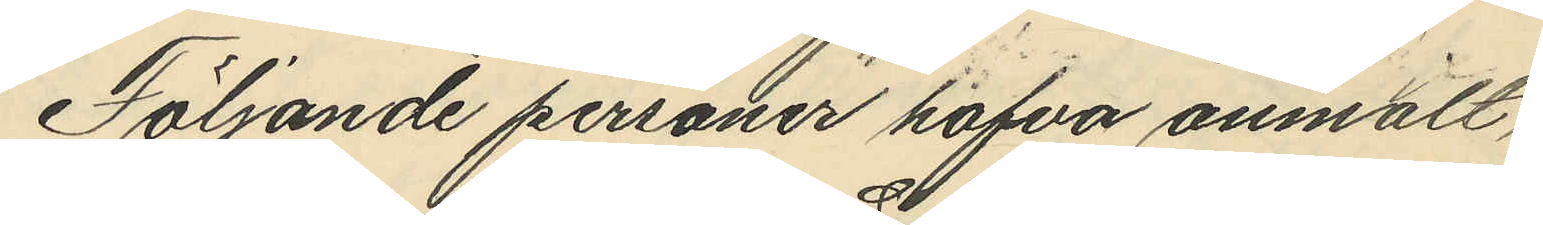Följande personer hafva anmält,
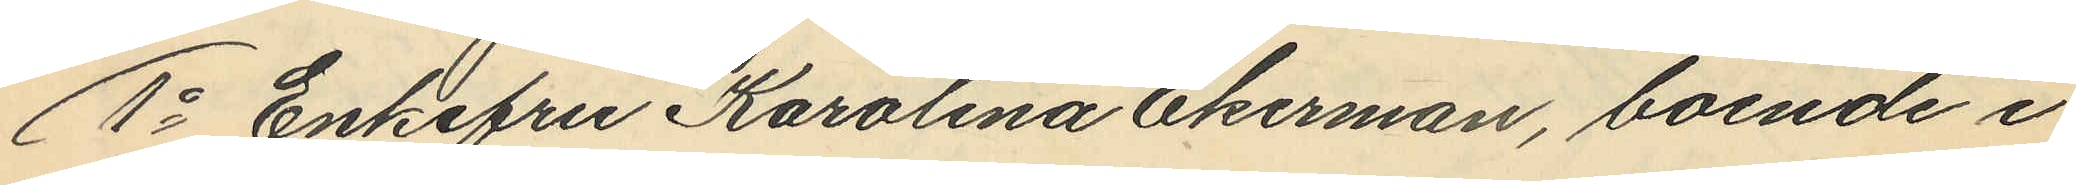1o Enkefru Karolina Ekerman, boende i
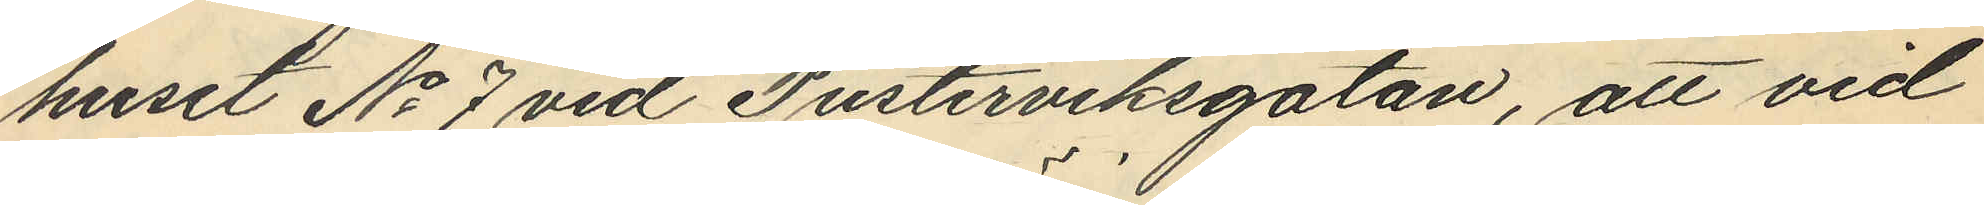huset No 7 vid Pusterviksgatan, att vid
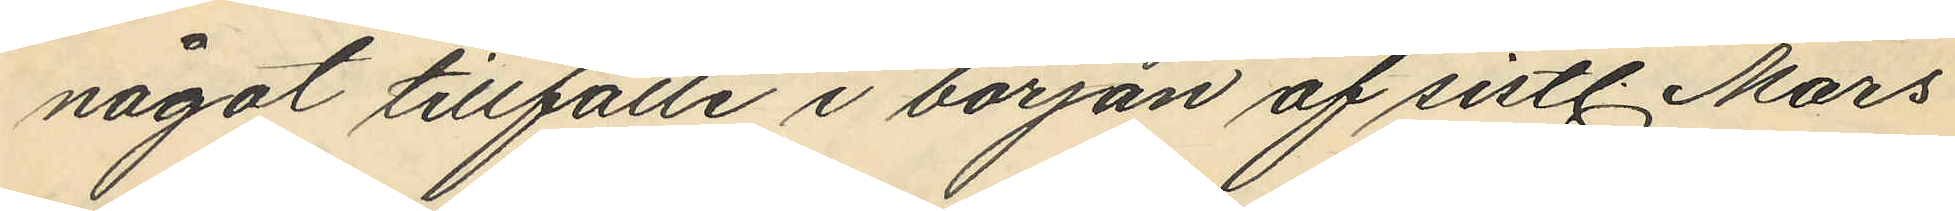något tillfälle i början af sistl. Mars
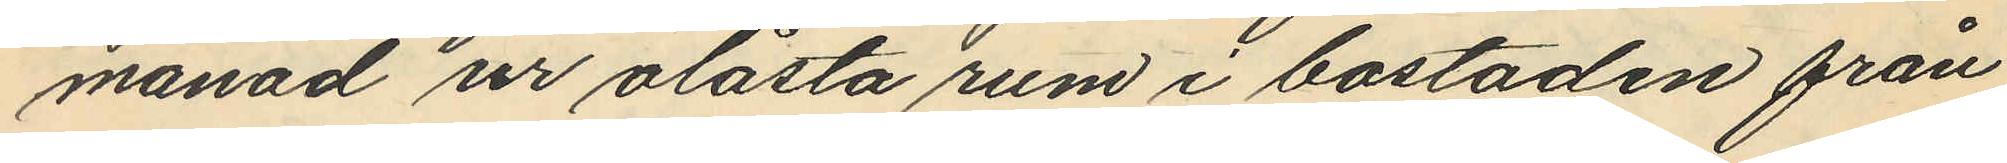månad ur olåsta rum i bostaden från
